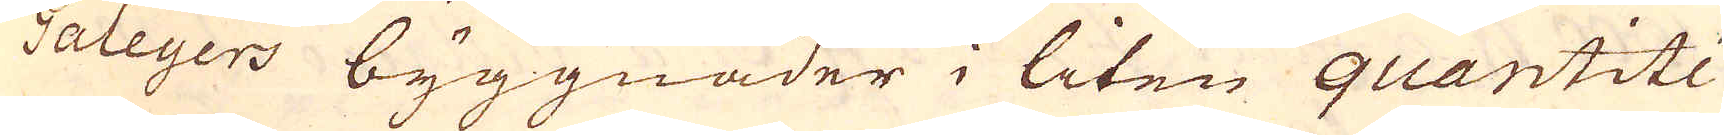Galeyers byggnader i liten quantitée
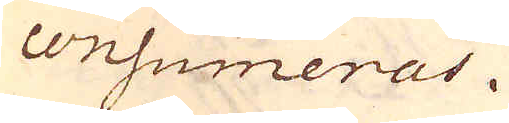consumeras.
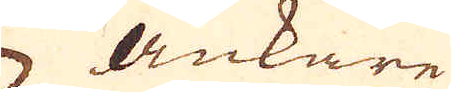Ankare
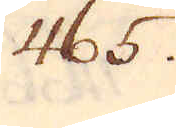465.
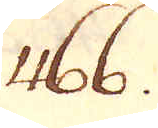466.
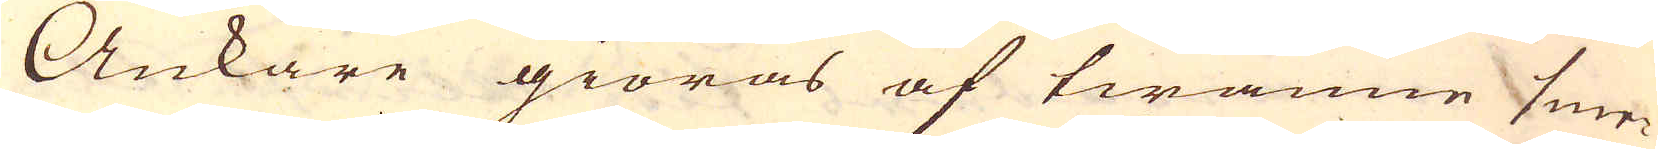Ankare giöras af twänne sme-
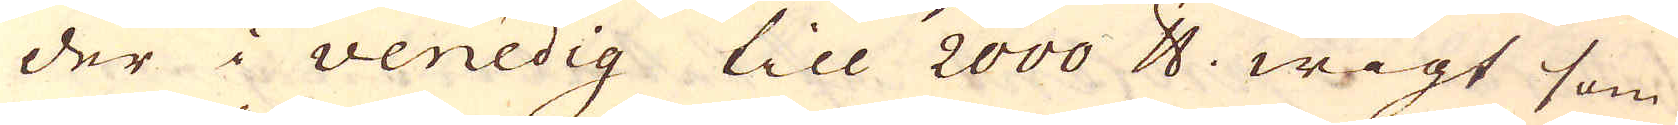der i Venedig till 2000 skålpund wigt som
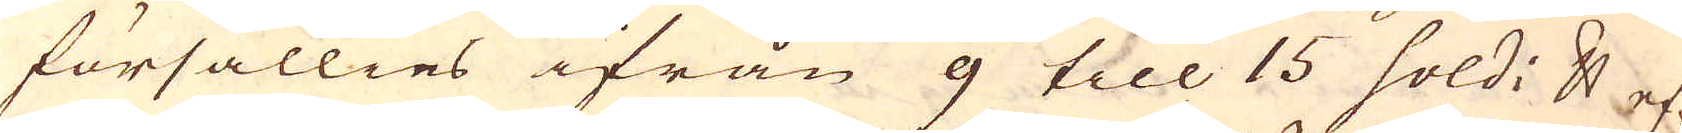försällies ifrån 9 till 15 sold; skålpund ef-
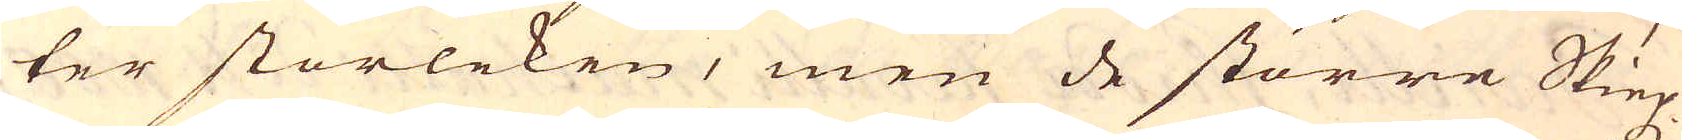ter storleken, men de större Skiep-
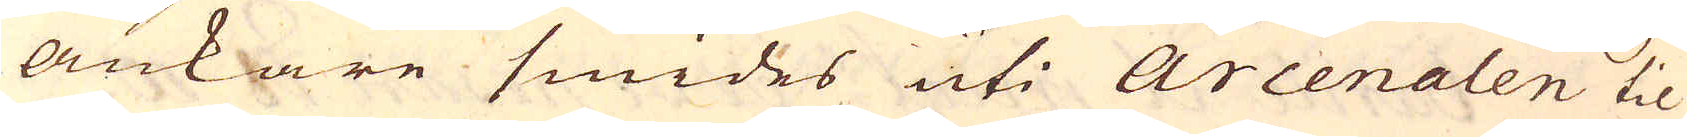ankare smides uti Arcenalen til
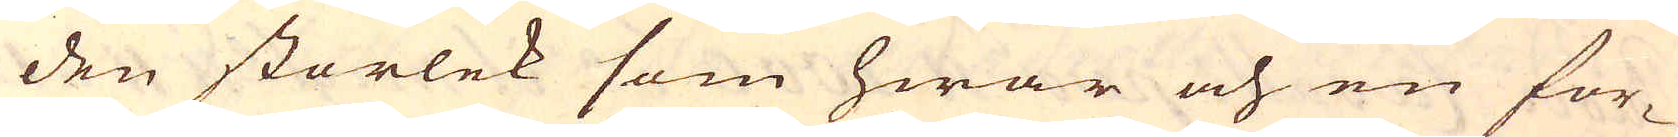den storlek som hwar och en for-
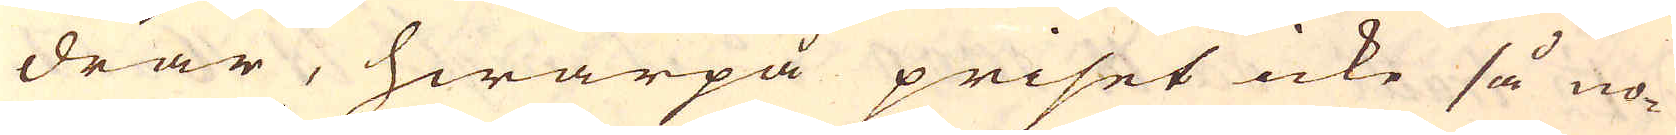drar, hwarpå priset icke så no-
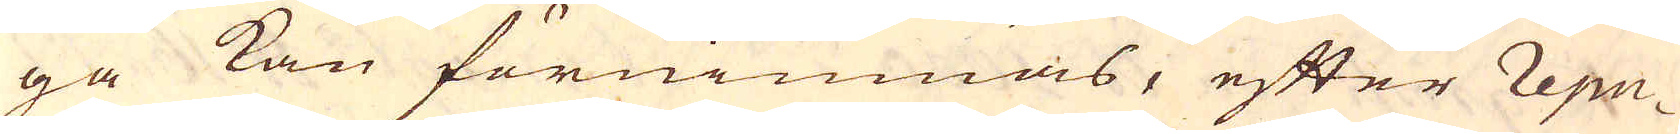ga kan förnimmas, efter repu-
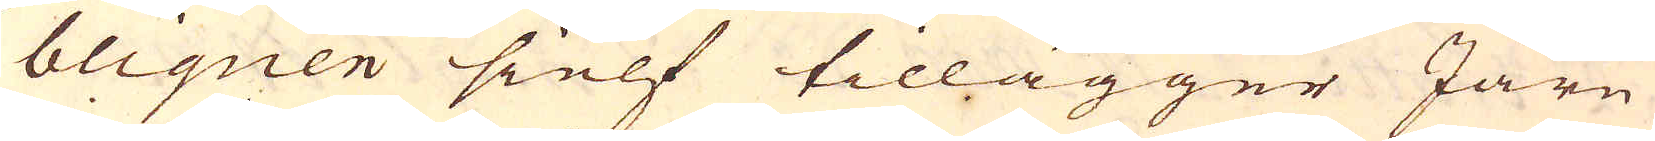bliquen sielf tillägger Järn
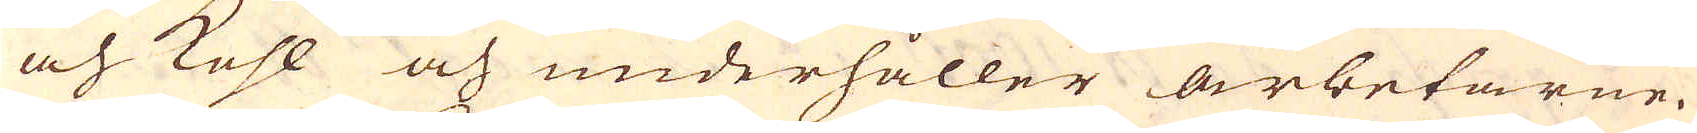och kohl och underhåller arbetarne.
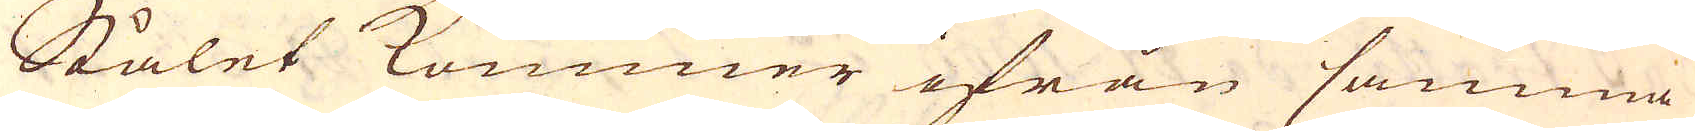Stålet kommer ifrån samma
